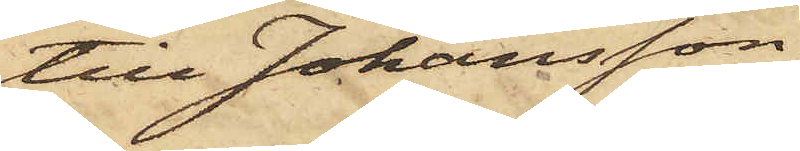till Johansson,
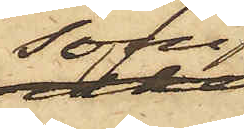som
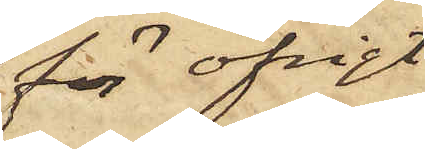för öfrigt
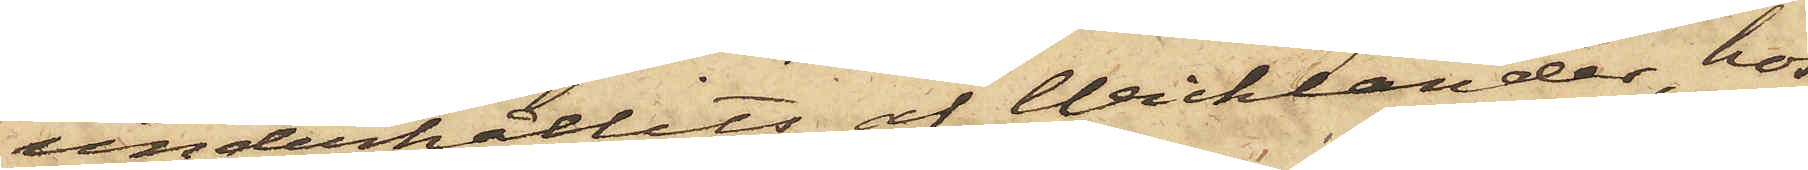underhållits af Wicklander, hos
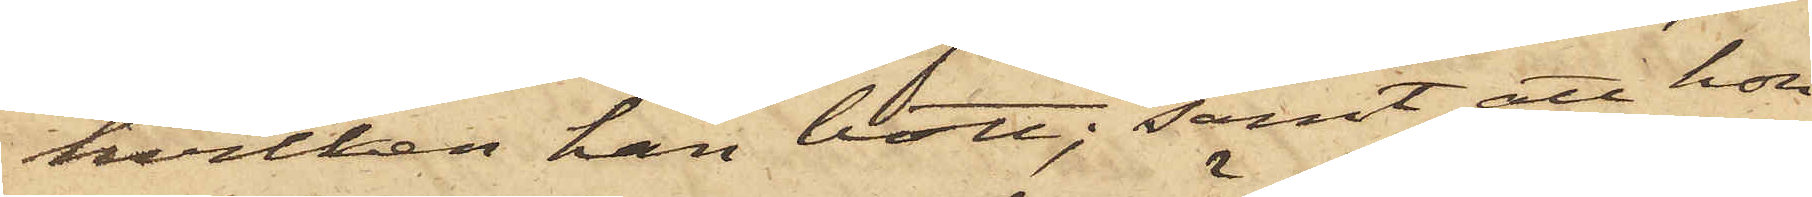hvilken han bott; samt att hon
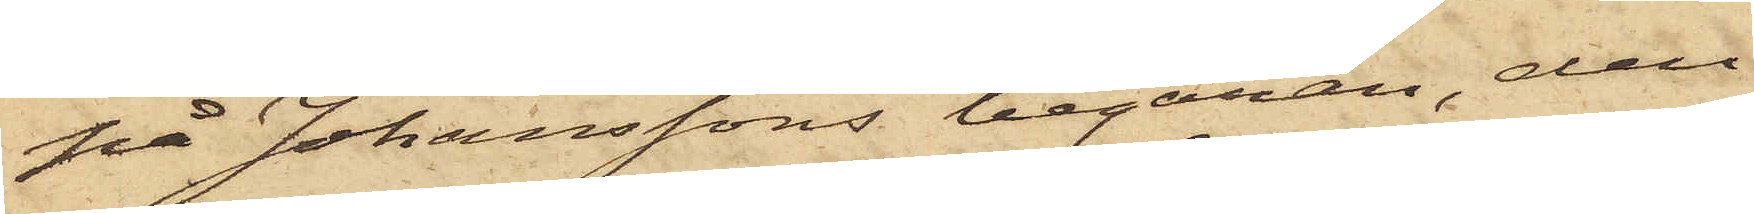på Johanssons begäran den
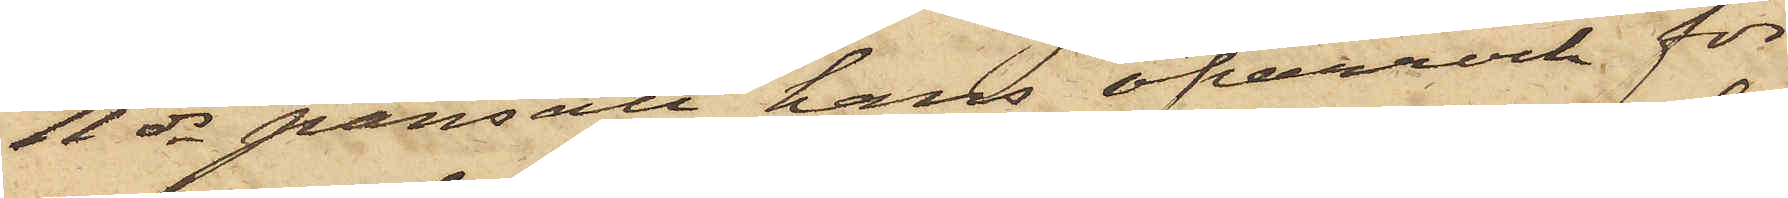11 ds pantsatt hans öfverrock för
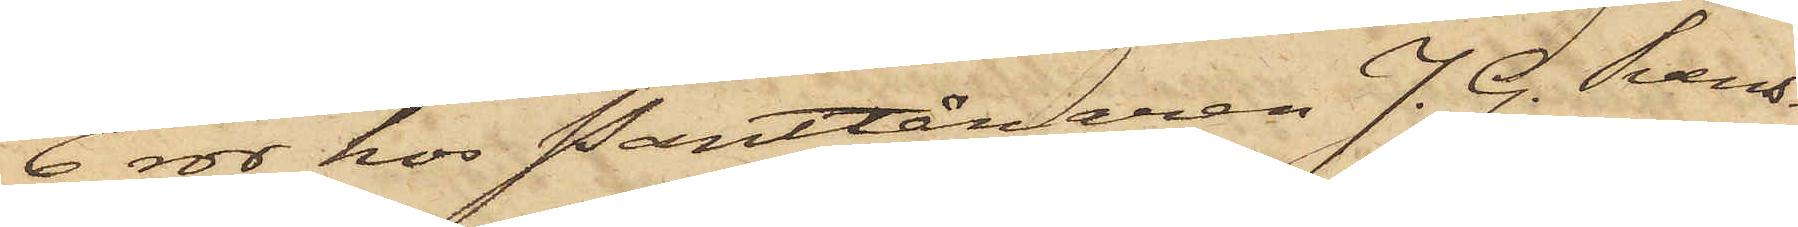6 rdr hos Pantlånaren J. G. Svens¬
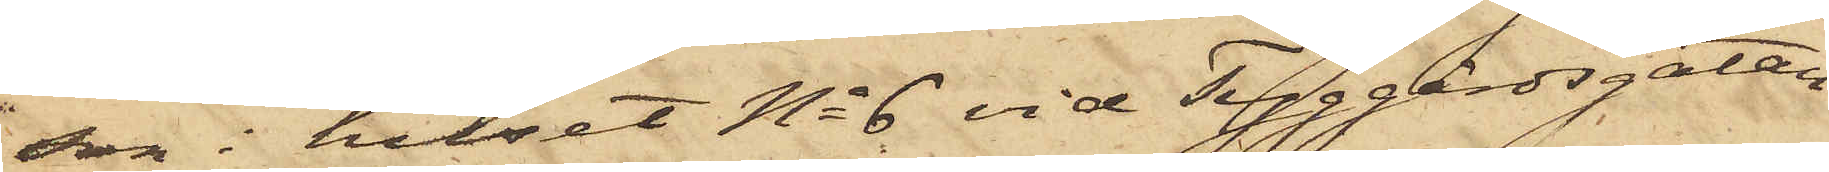son i huset No 6 vid Tyggårdsgatan.
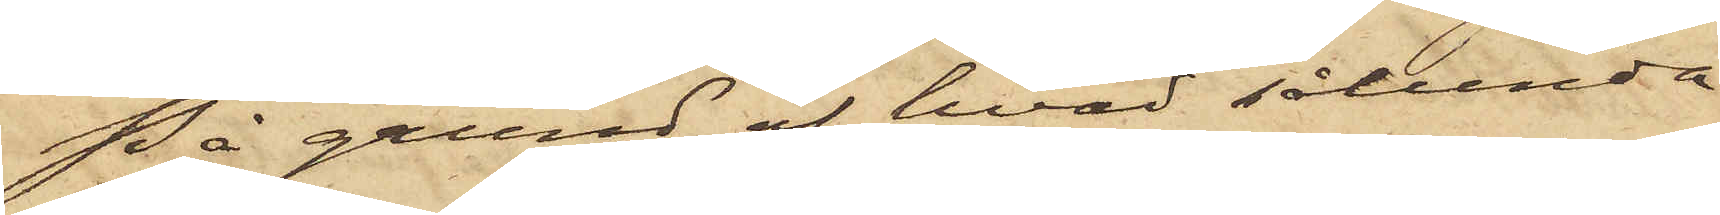På grund af hvad sålunda
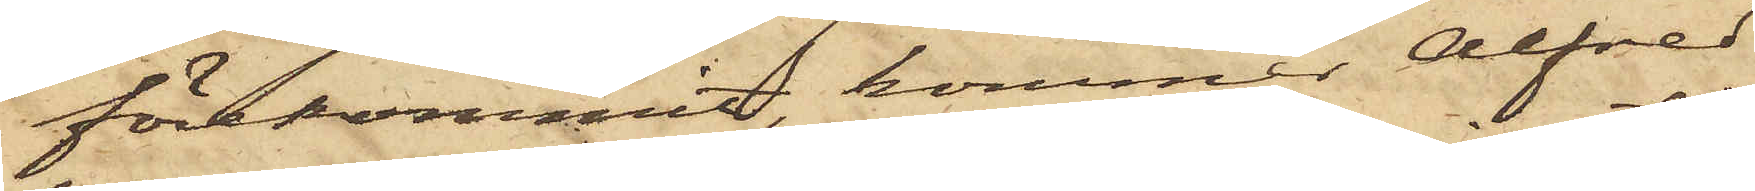förekommit, kommer Alfred
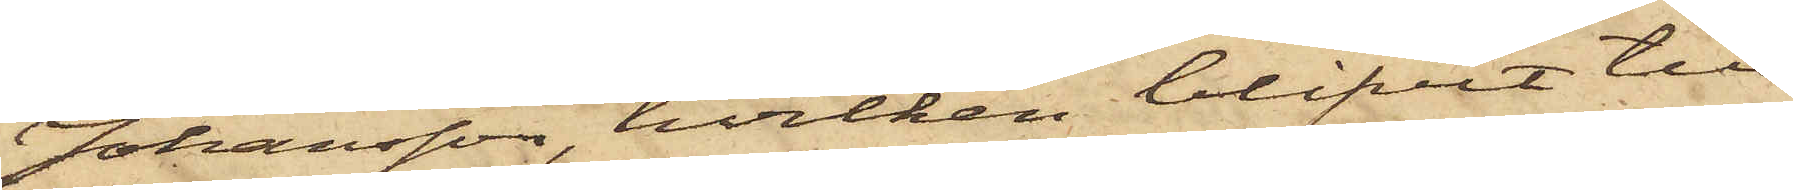Johansson, hvilken blifvit till
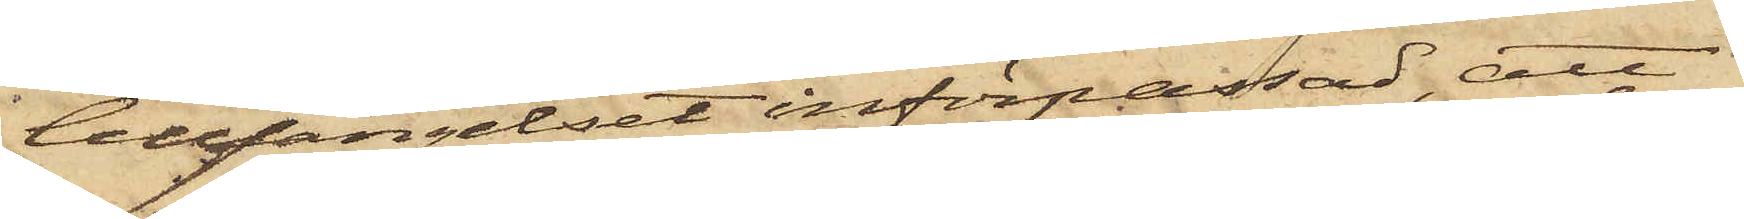Cellfängelset införpassad, att
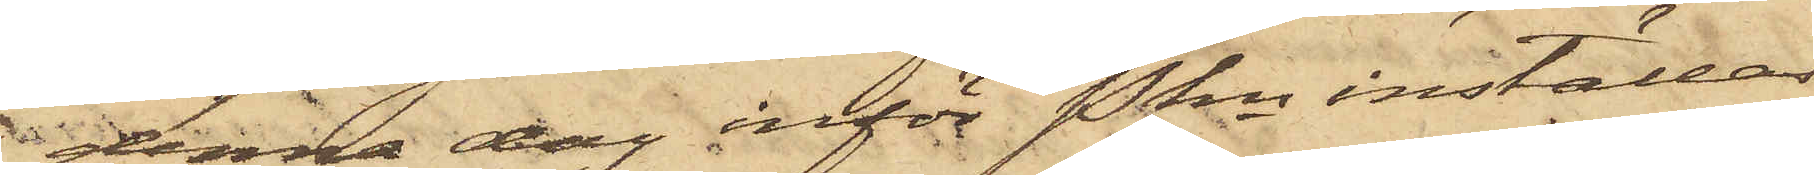denna dag inför Pkn inställas.
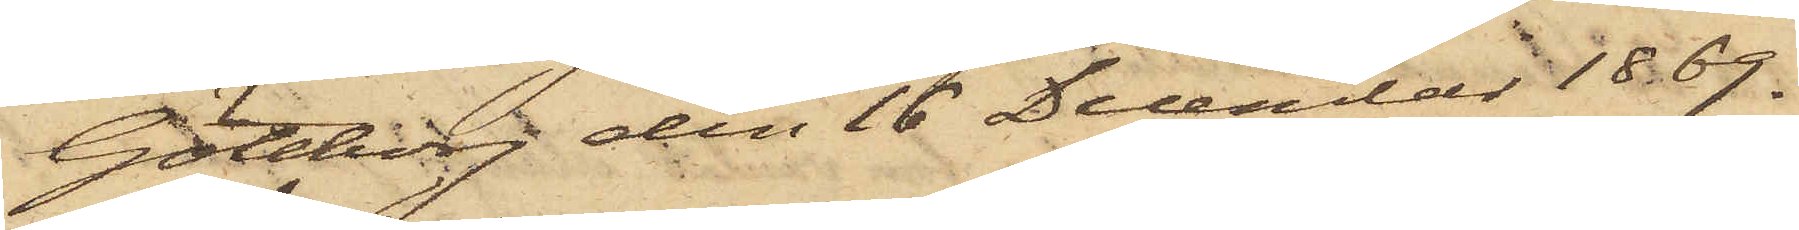Göteborg den 16 December 1869.
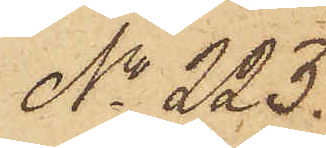No 223.
